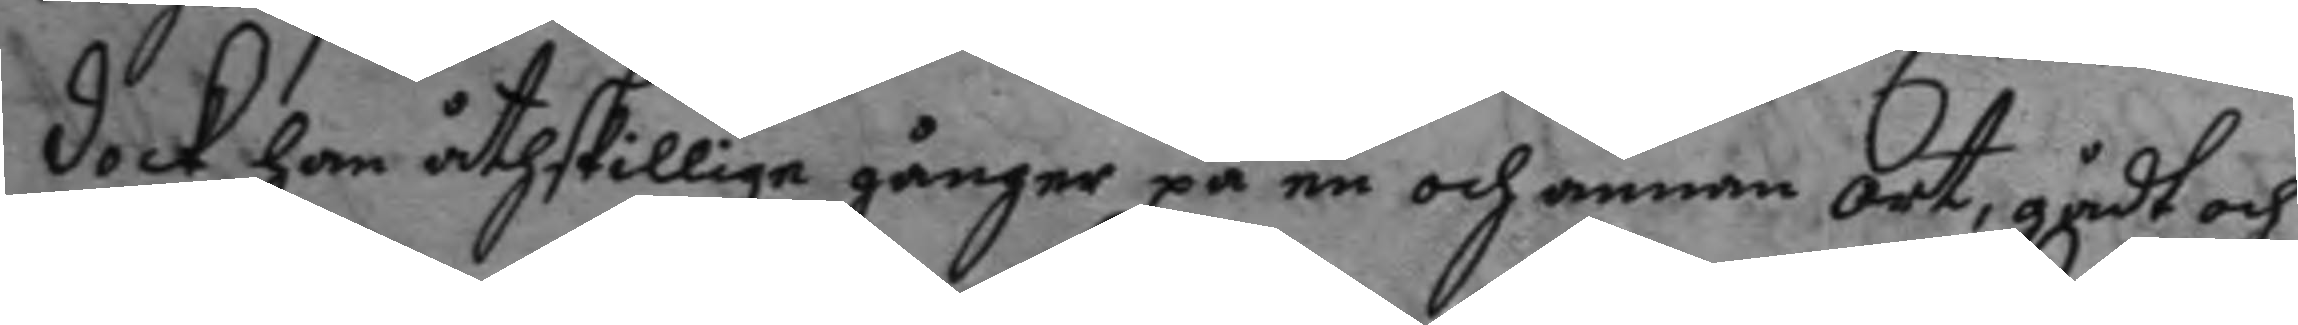dock han åthskillige gånger på en och annan ort, gådt och
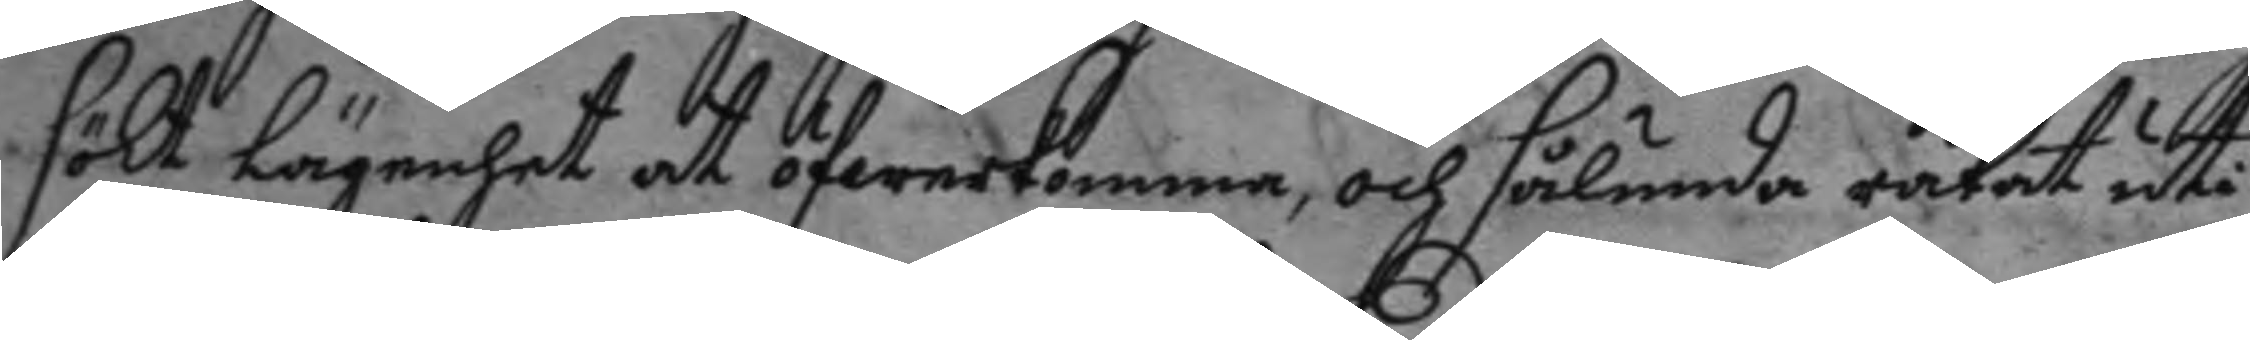sökt Lägenhet at öfwerkomma, och sålunda råkat uti
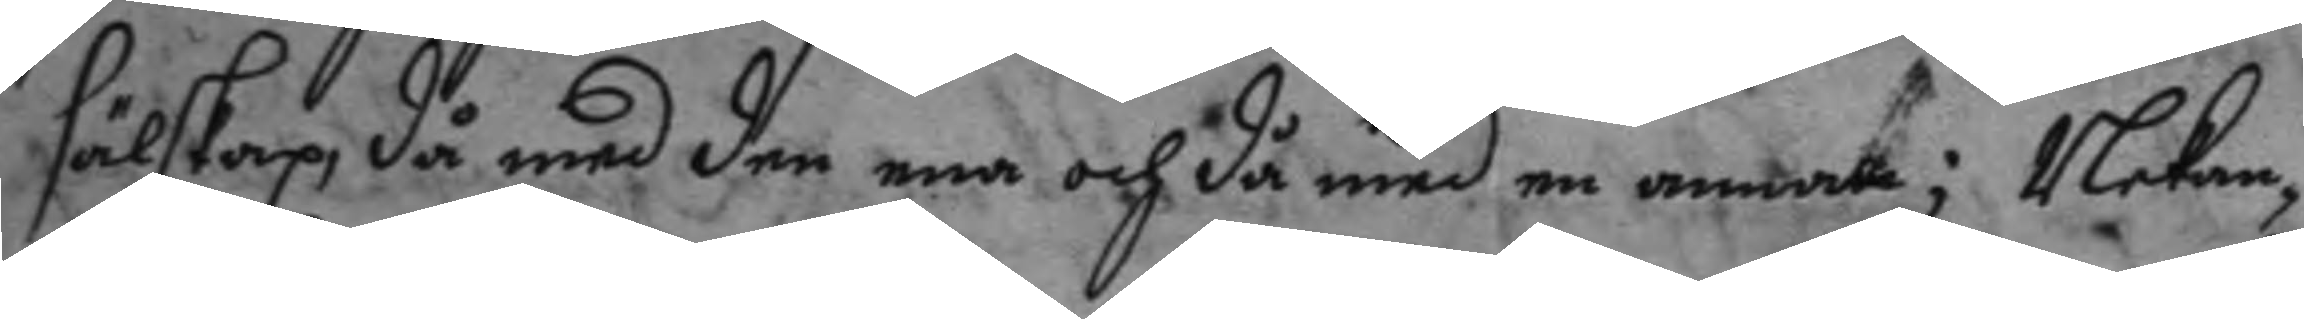sälskap, då med den ena och då med en annan; Nekan¬
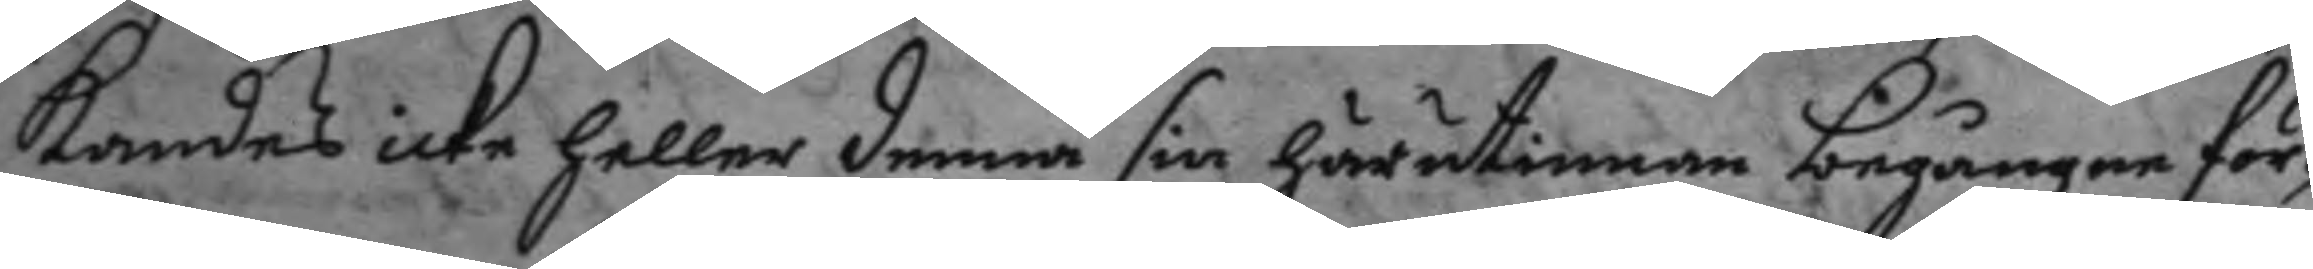kandes icke heller denna sin härutinnan begångne för¬
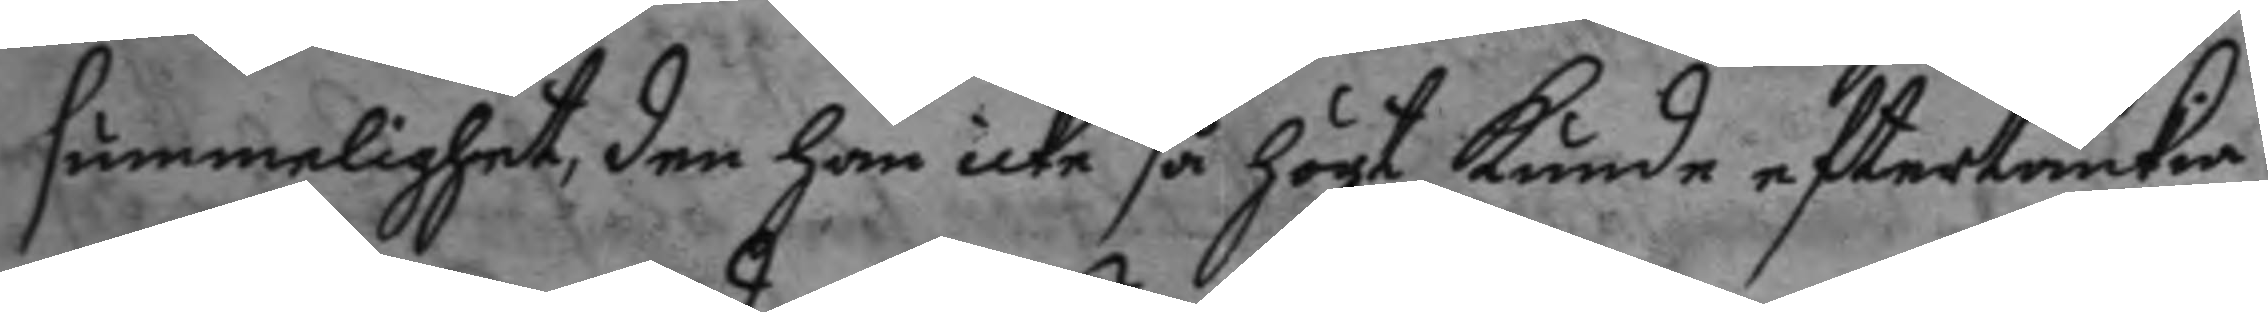summelighet, den han icke så högt kunde eftertänkia
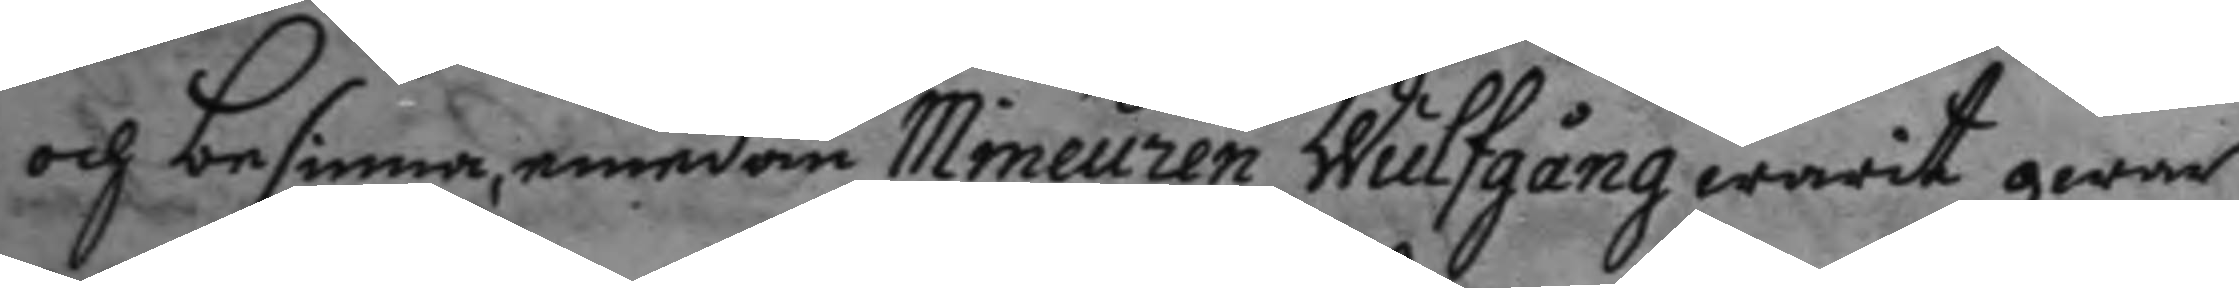och besinna, emedan Mineuren Wulfgång warit qwar
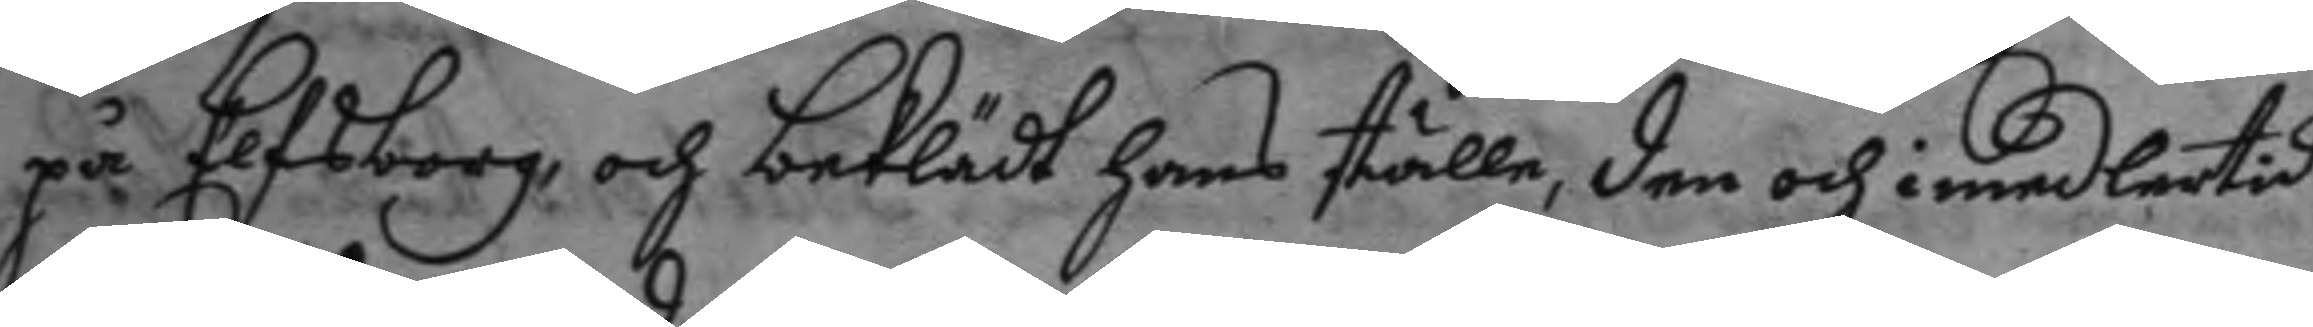på Elfsborg och beklädt hans ställe, den och imedlertid
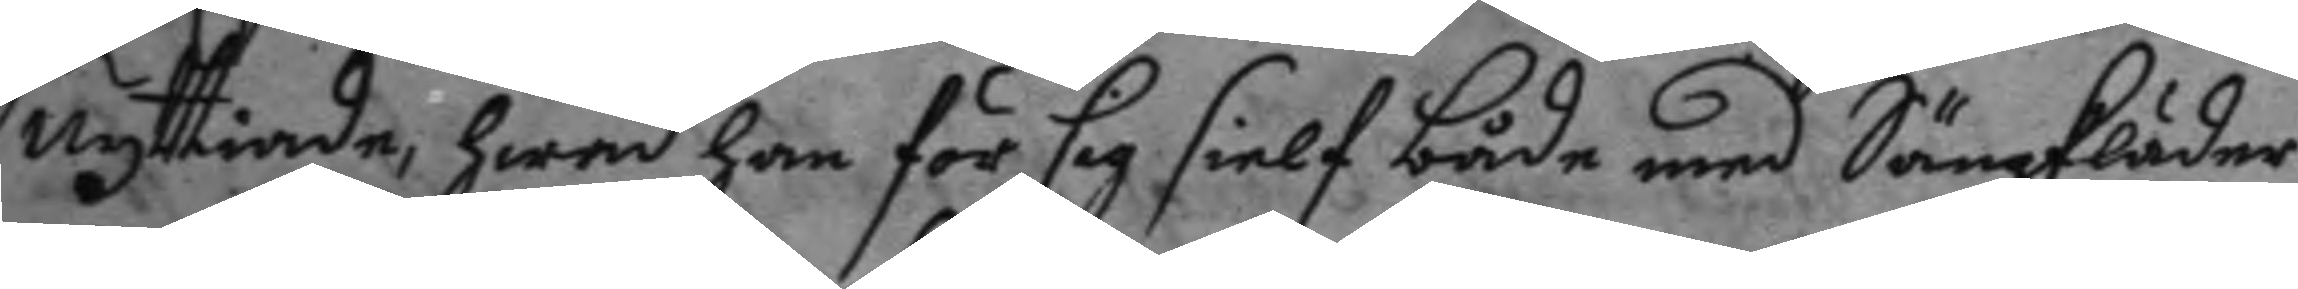nyttiande, hwad han för sig sielf både med Sängkläder
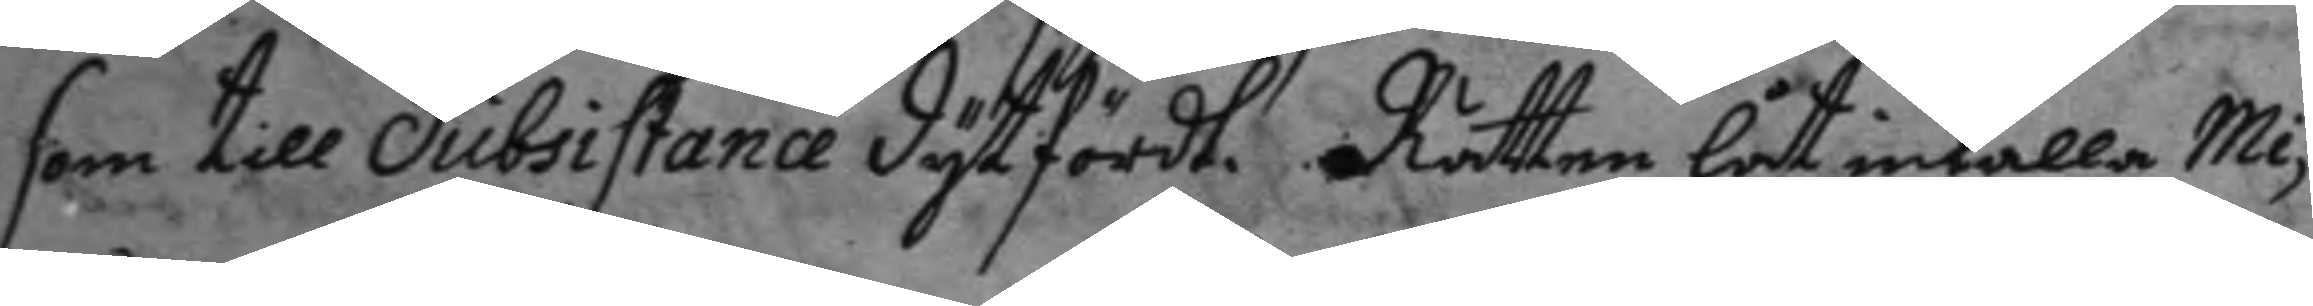som till Subsistance dytfördt. Rätten låt inkalla Mi¬
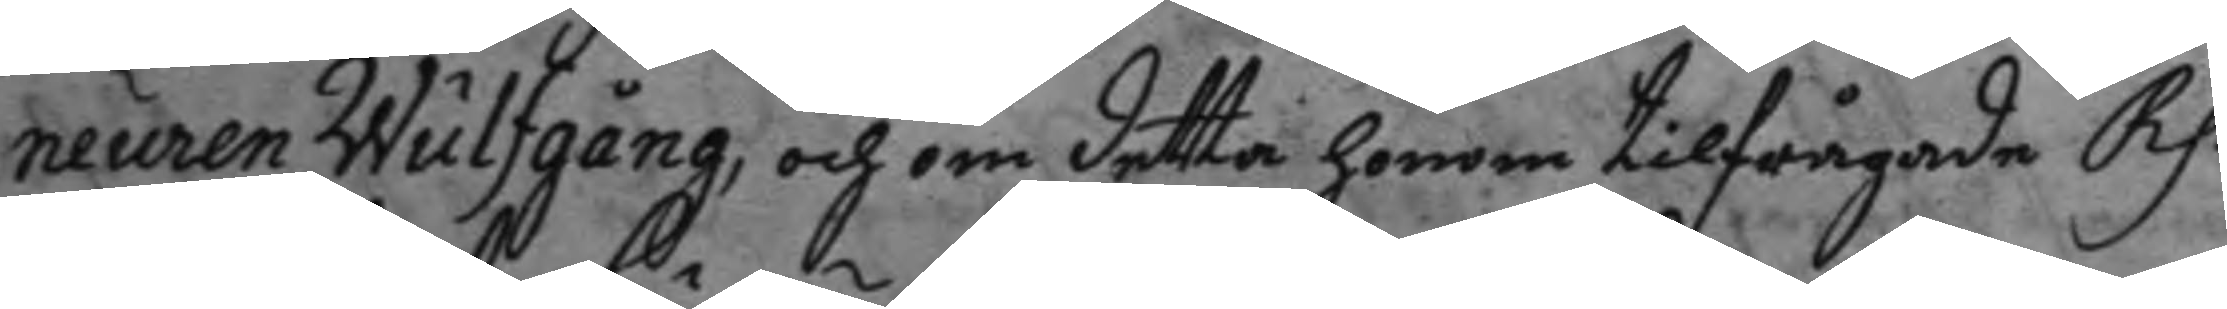neuren Wulfgång, och om detta honom tilfrågade Rp.
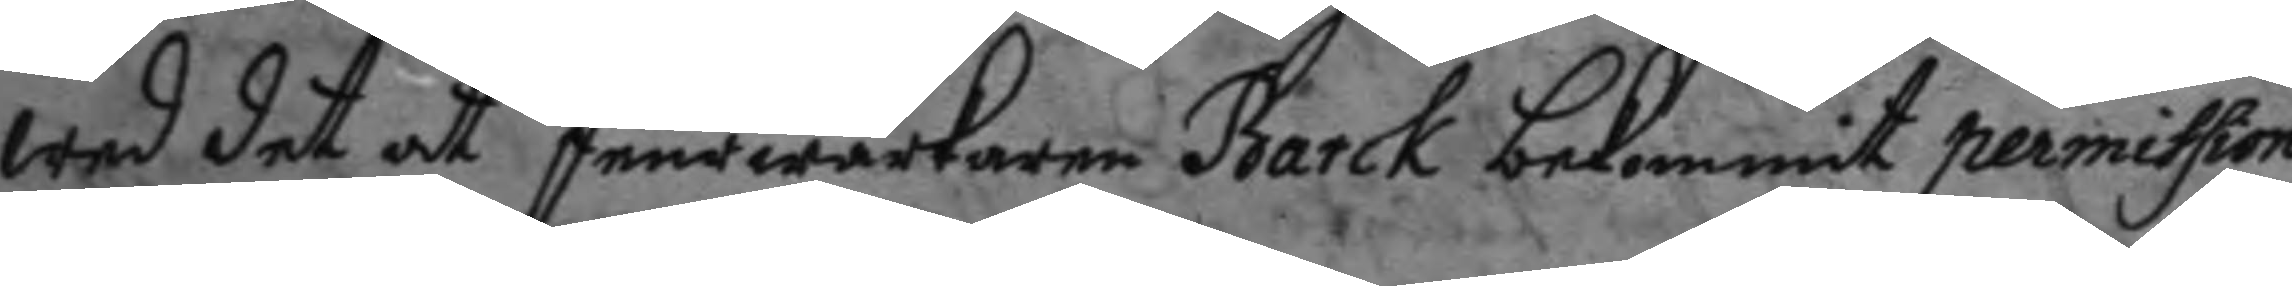wed det at feurwärkaren Barck bekommit permission
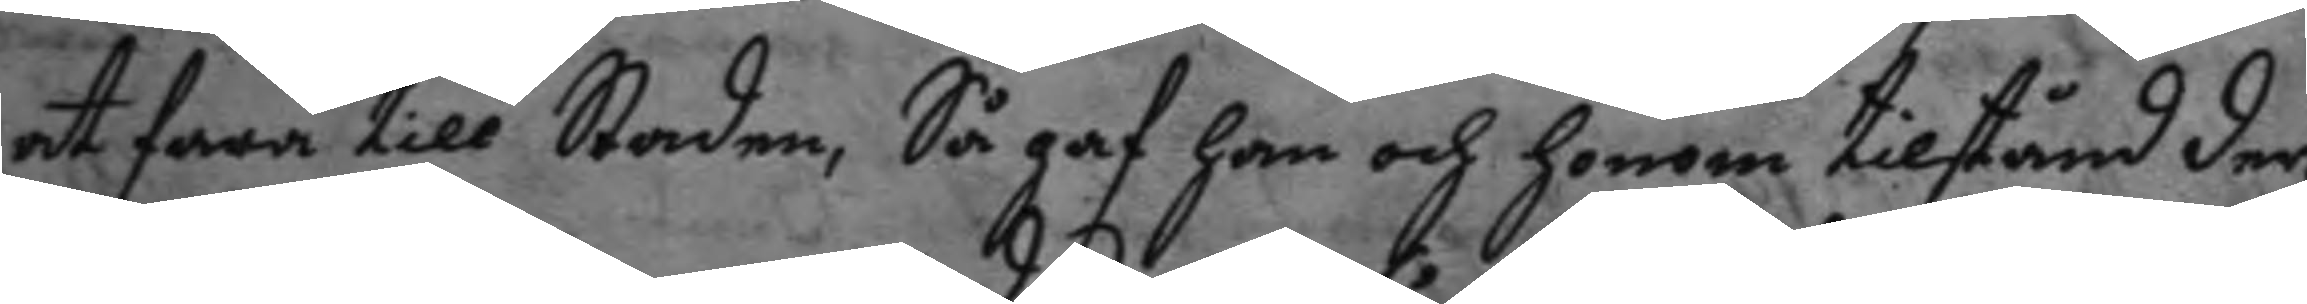at fara till Staden, Så gaf han och honom tilstånd der,
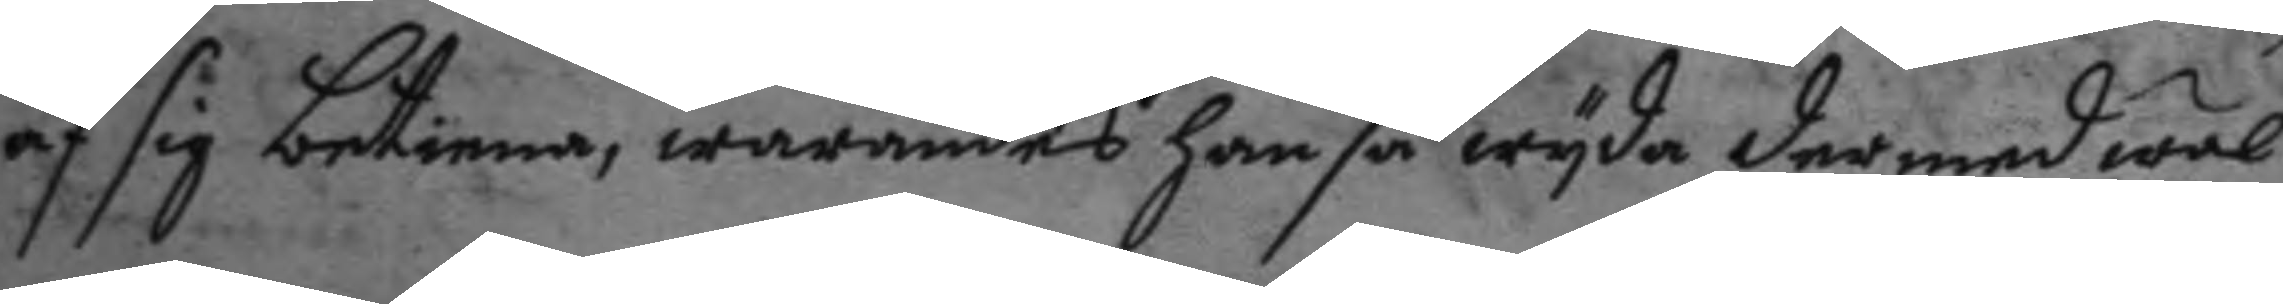af sig betiena, warandes han så wyda der med wäl
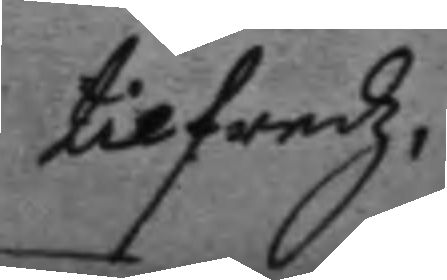tilfredz,
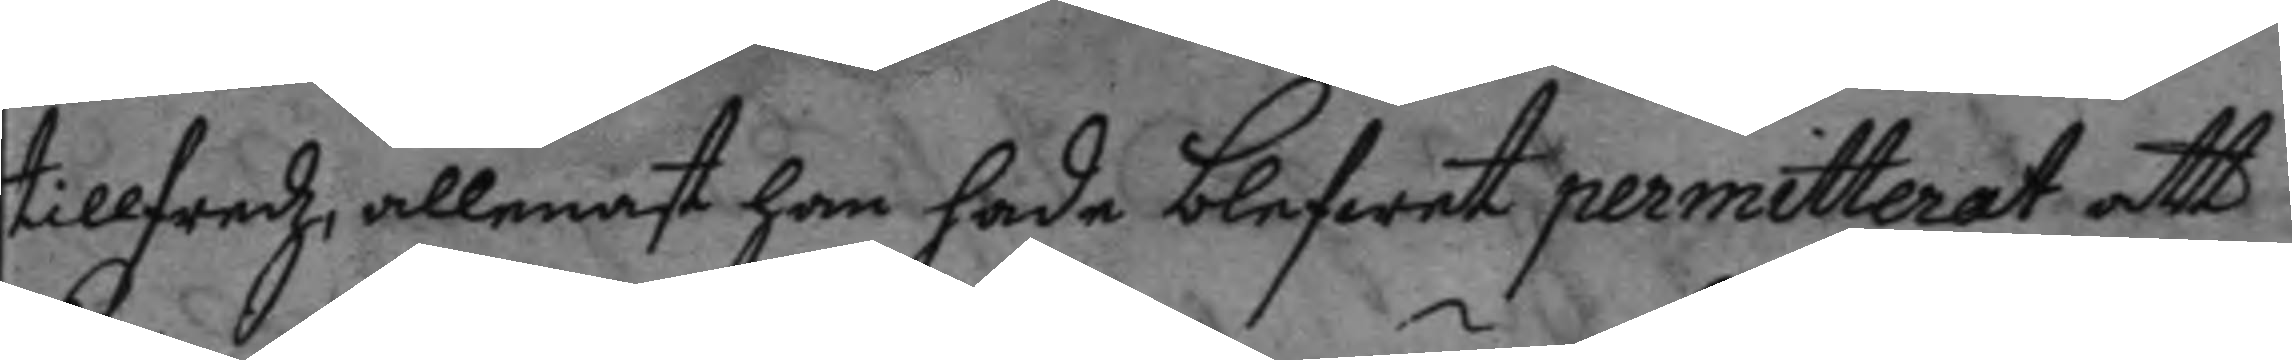tillfredz, allenast han hade blefwet permitterat att
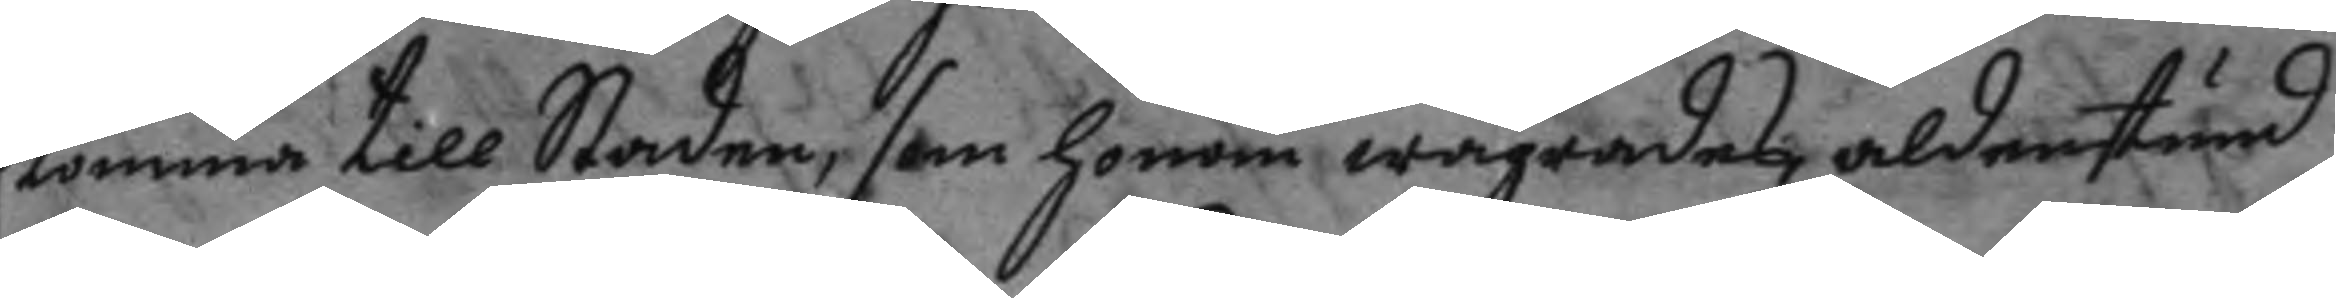komma till Staden, som honom wägrades aldenstund
